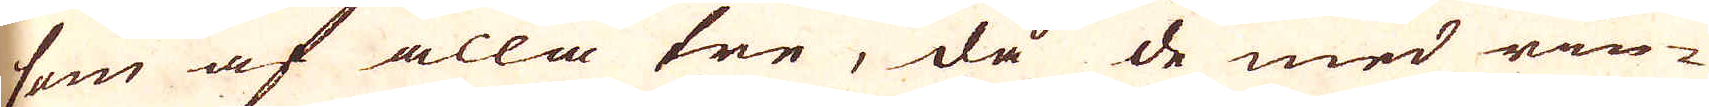som af alla tre, då de med rin-
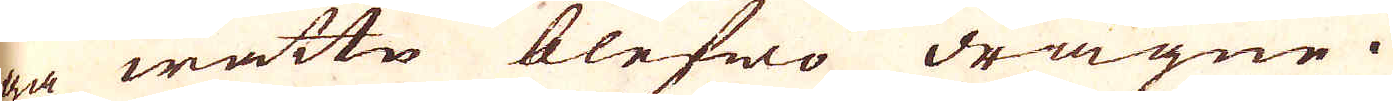ga wattn blefwo dragne.
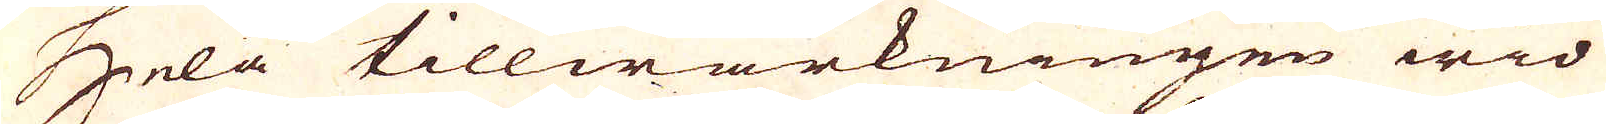Hela tillwärkningen wid
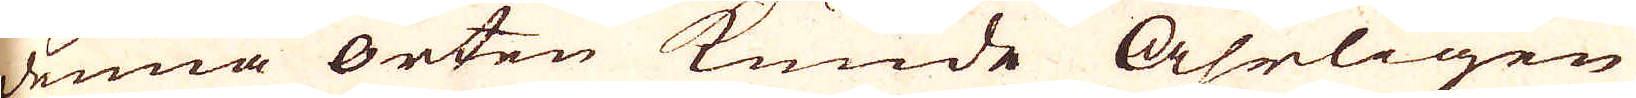denna orten kunde Åhrligen
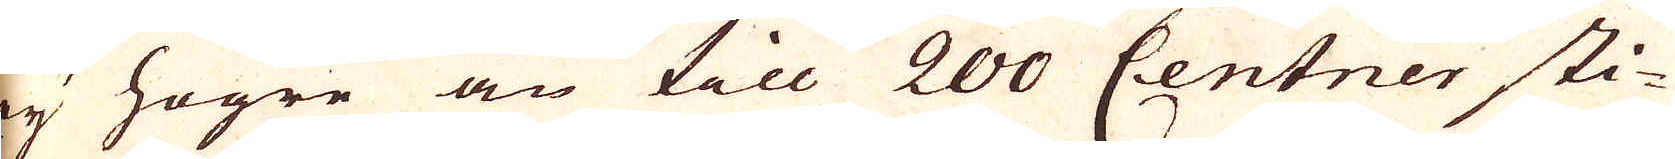ey högre än till 200 Centner sti-
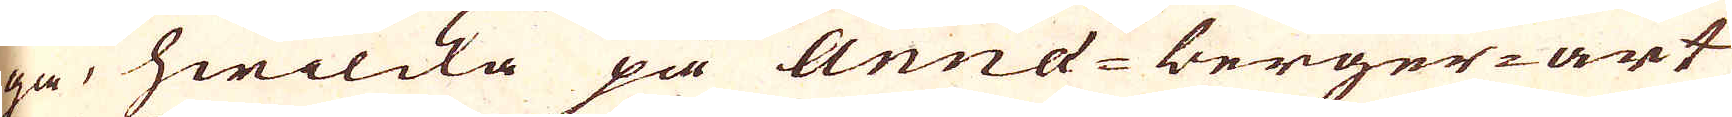ga, hwilcka på Anna-berger-art
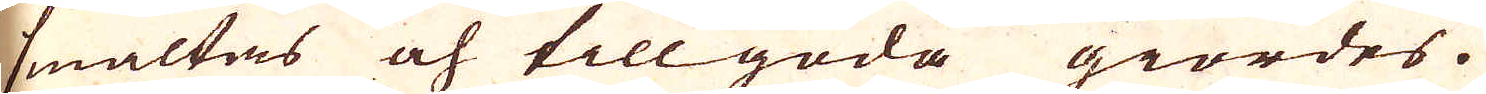smältas och tillgoda giordes.
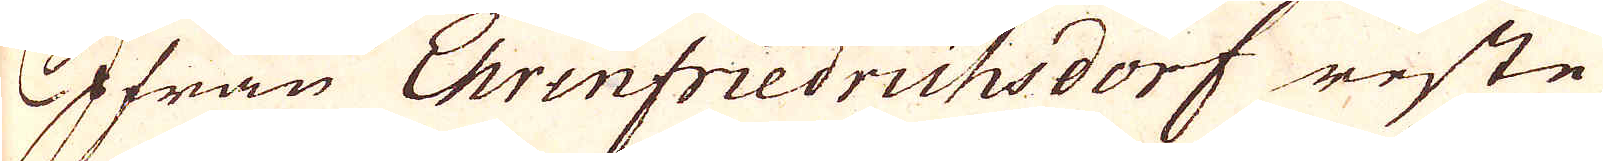Ifrån Ehrenfriedrichsdorf reste
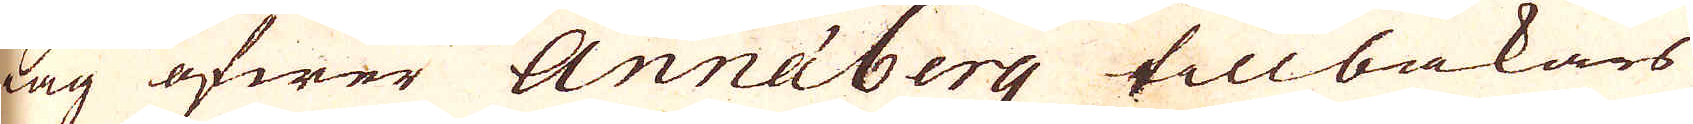lag öfwer Annaberg tillbakars
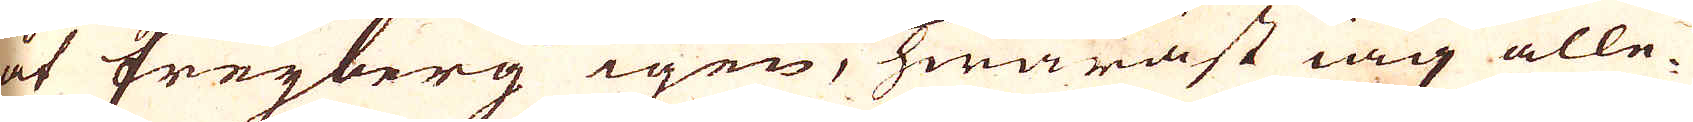åt Freyberg igen, hwaräst iag alle-
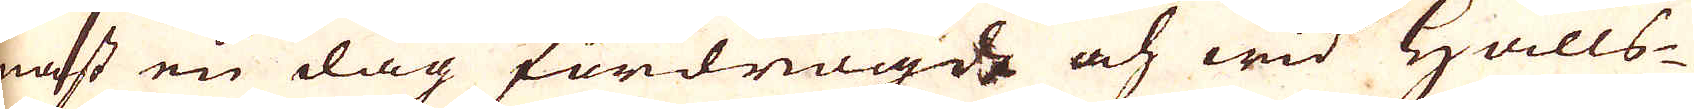nast en dag fördrögde och wid Halls-
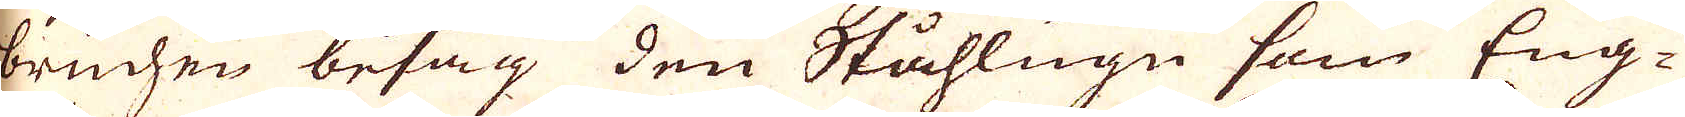bruchen besåg den Ståhlugn som Eng-
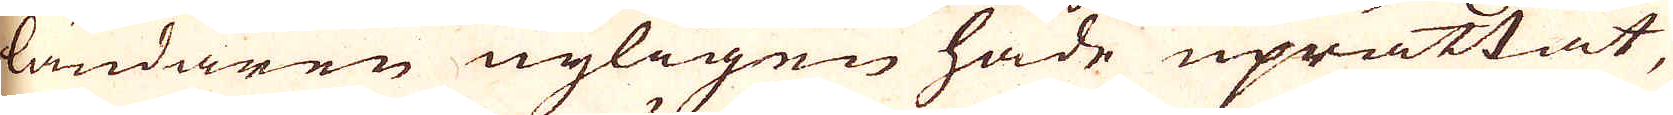ländaren nyligen hade uprättat,
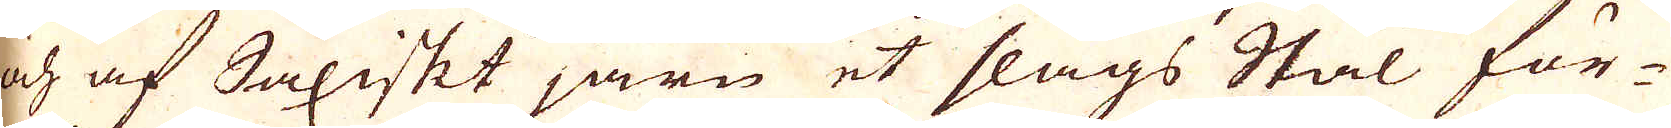och af Saxiskt järn et slags Stål för-
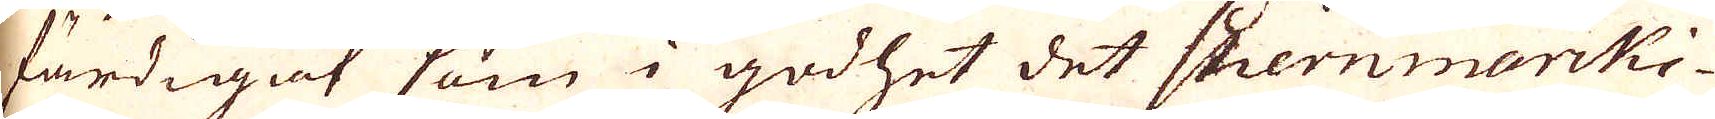färdigat som i godhet det stiernmärki-
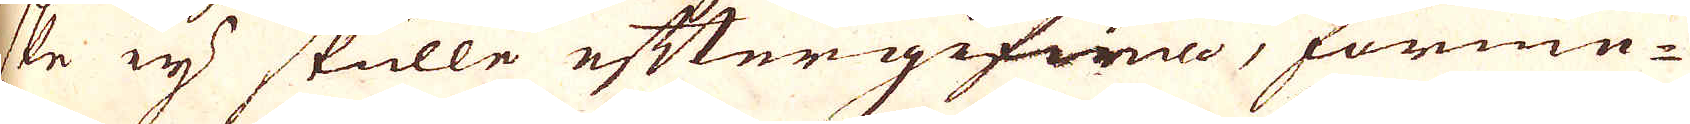ske ey skulle eftergifwna, förme-
